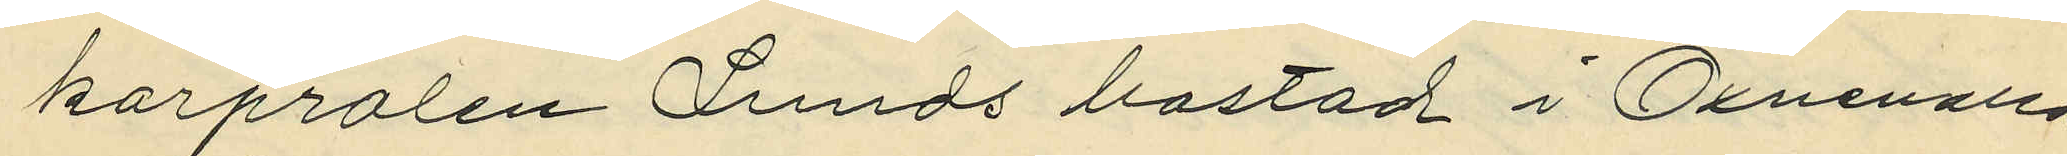korpralen Lunds bostad i Öxnevalla
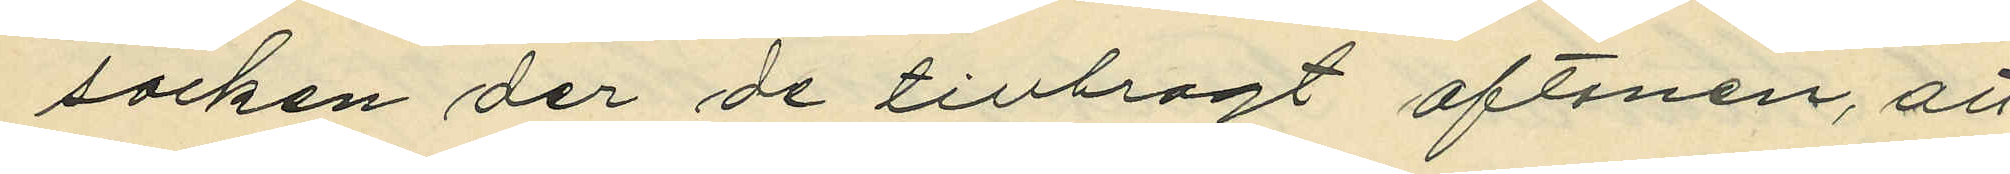socken der de tillbragt aftonen, att
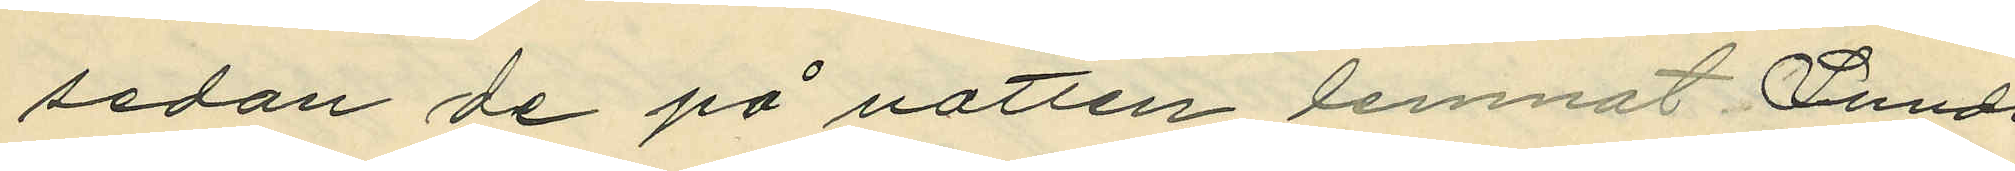sedan de på natten lemnat Lunds
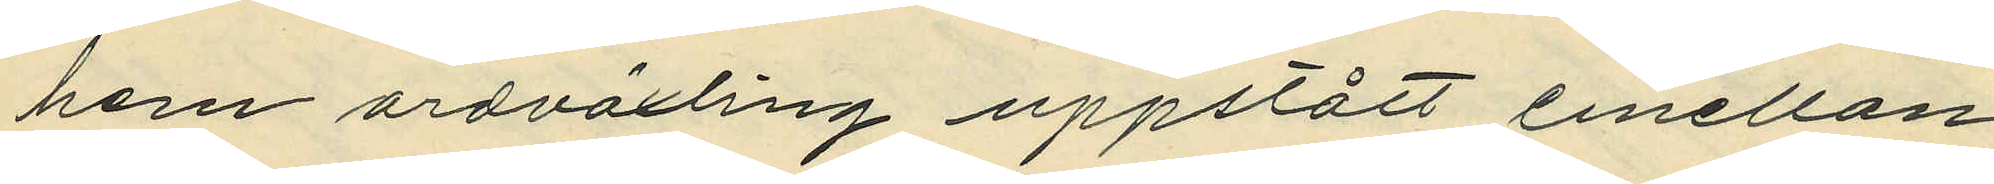hem ordväxling uppstått emellan
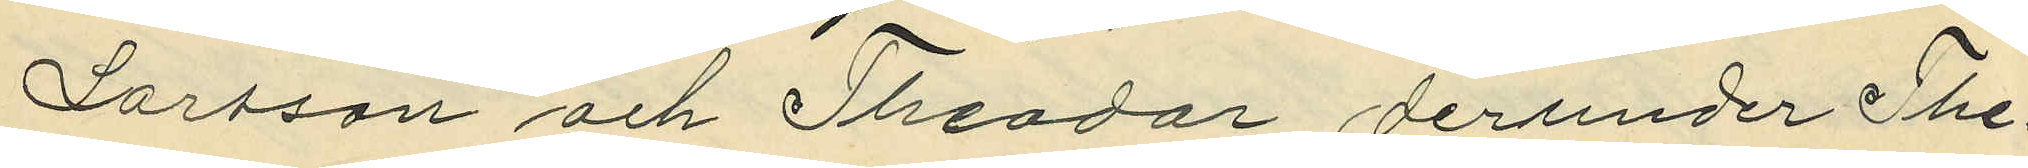Larsson och Theodor derunder The¬
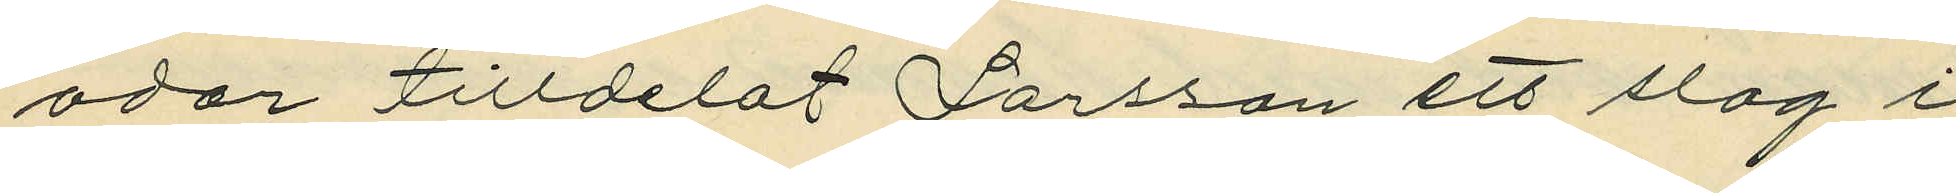odor tilldelat Larsson ett slag i
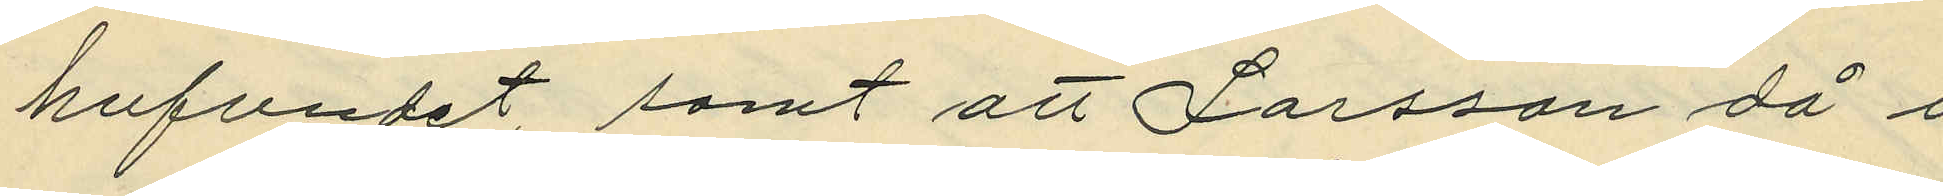hufvudet samt att Larsson då i
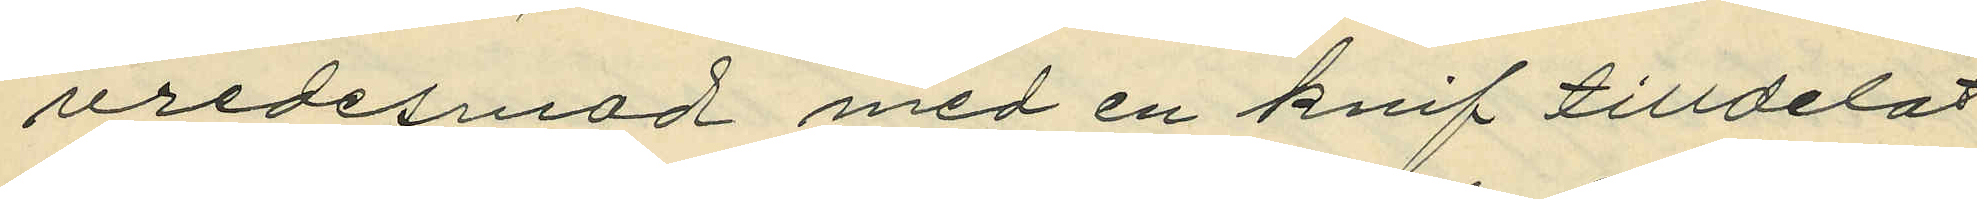vredesmod med en knif tilldelat
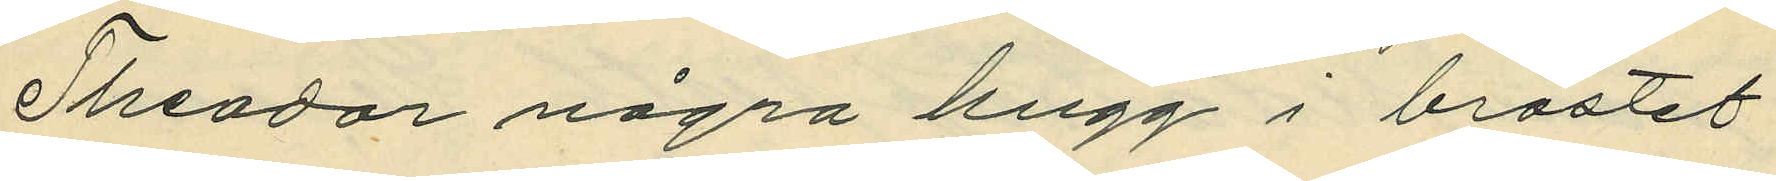Theodor några hugg i bröstet.
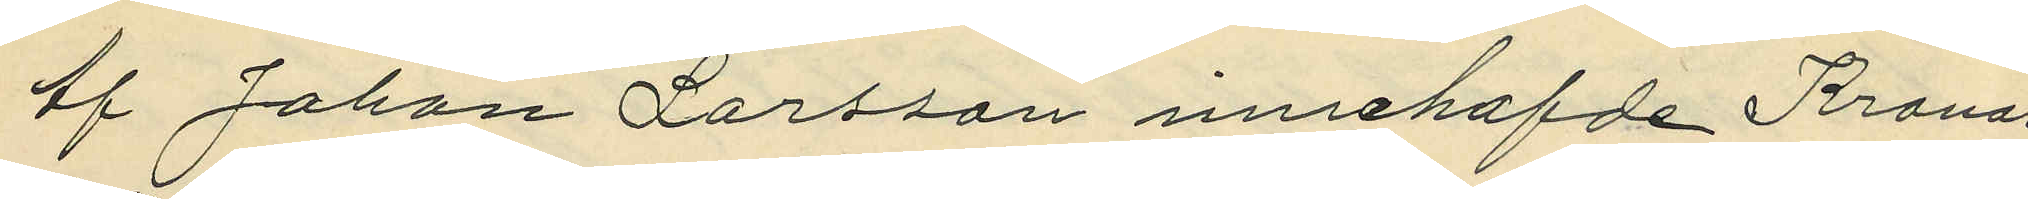Af  Johan Larsson innehafde Kronor
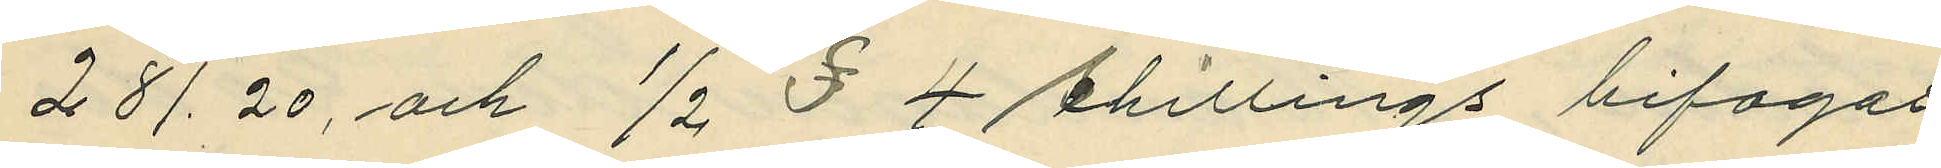281.20, och 1/2 $ 4 Shillings bifogas.
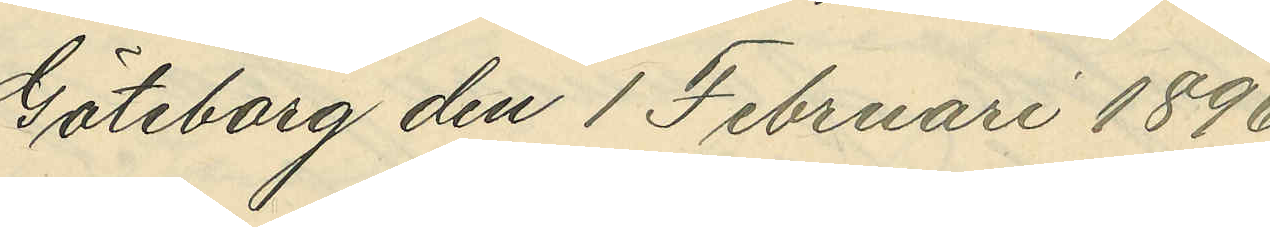Göteborg den 1 Februari 1896.
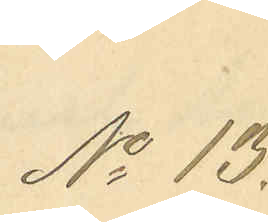No 13.
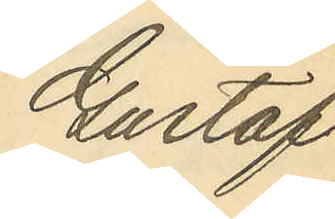Gustaf
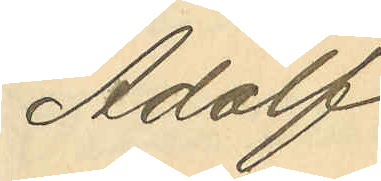Adolf
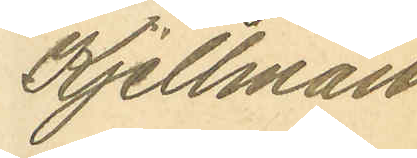Kjellman
